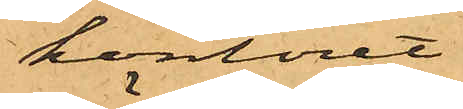kontoret
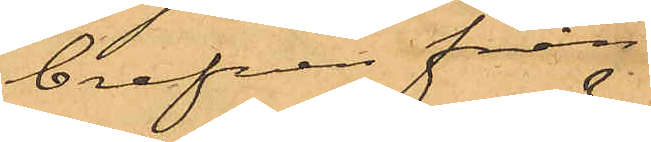brefven från
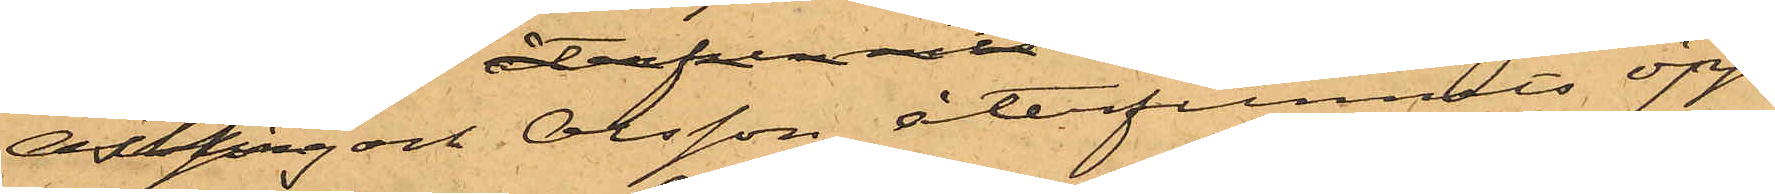Östling och Olsson återfunnits öpp¬
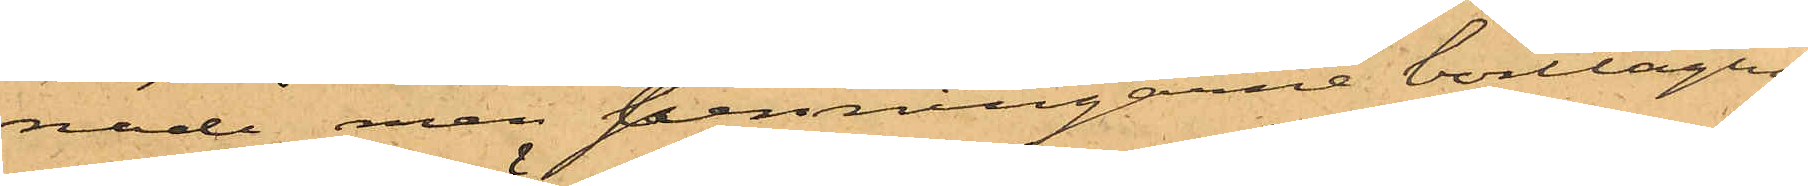nade men penningarne borttagne.
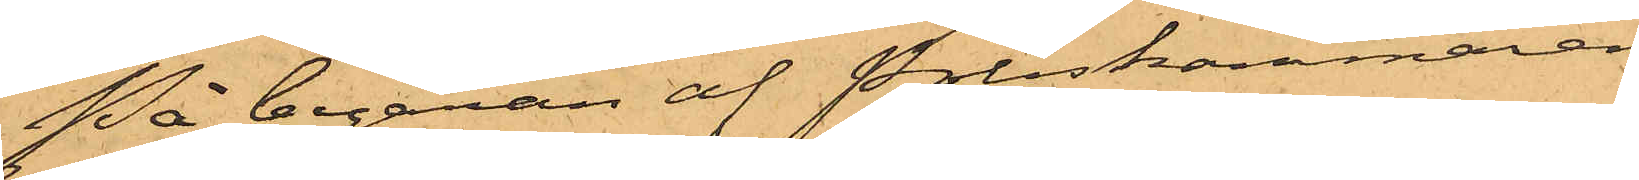På begäran af Poliskammaren
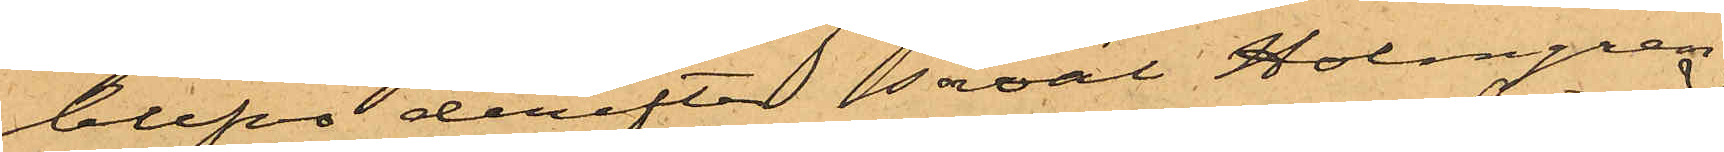blefvo derefter såväl Holmgren
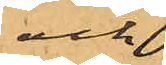och
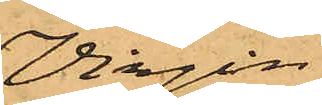Virgin
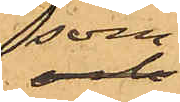som
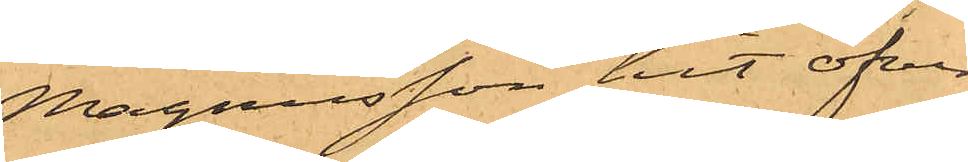Magnusson hit öfver¬
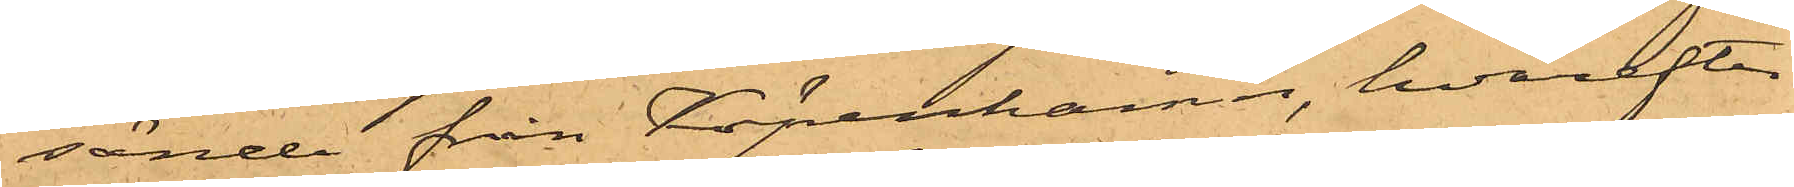sände från Köpenhamn, hvarefter
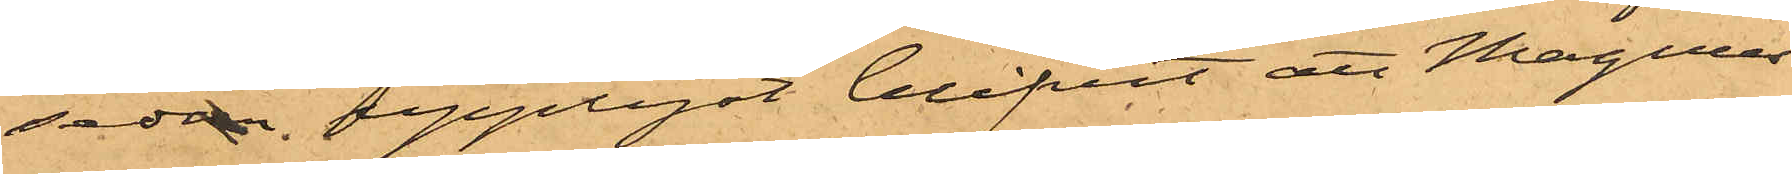sedan upplyst blifvit att Magnus¬
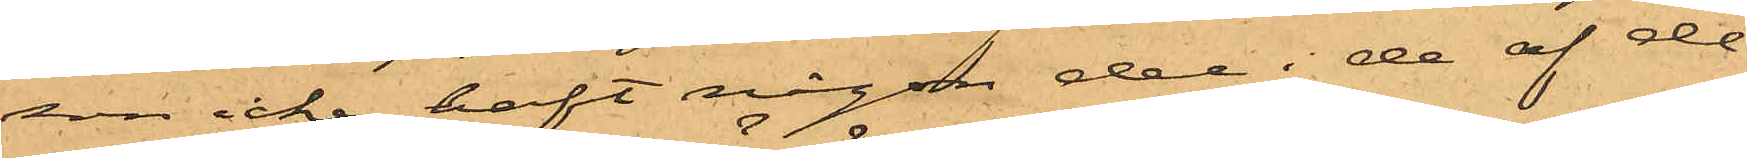son icke haft någon del i de af de
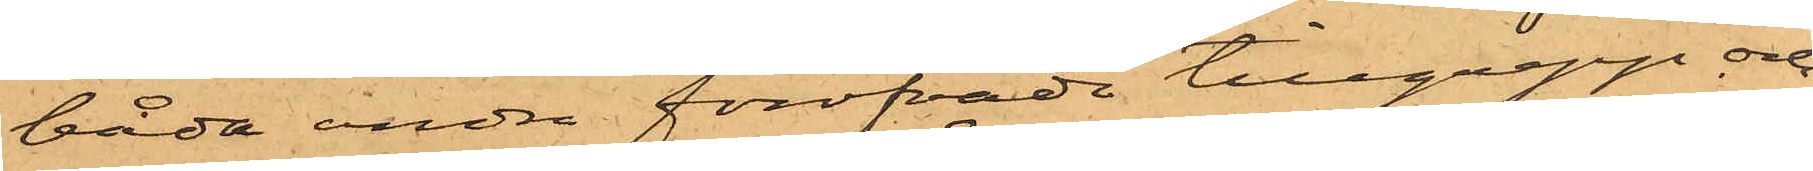båda andra föröfvade tillgrepp och
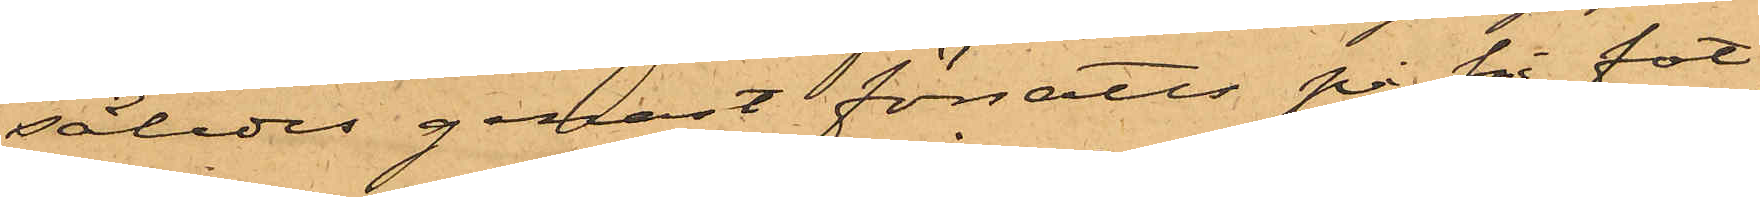således genast försatts på fri fot,
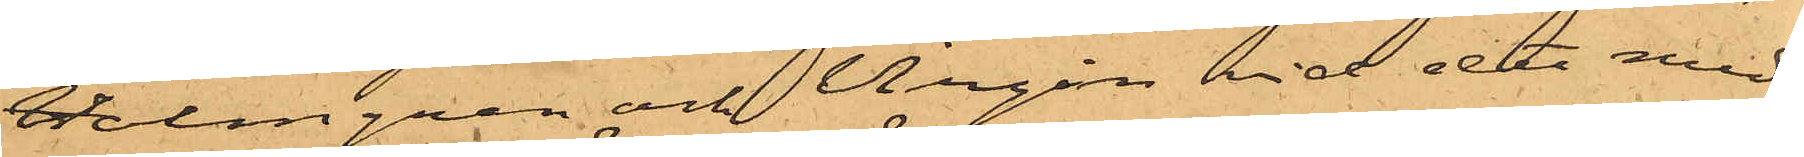Holmgren och Virgin vid det med
